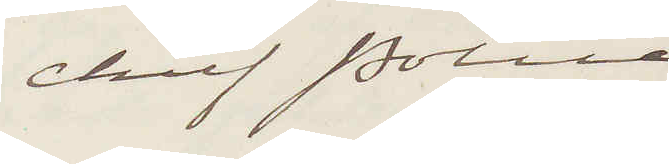Chief Police 
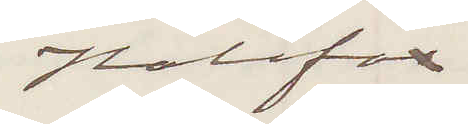Halifax
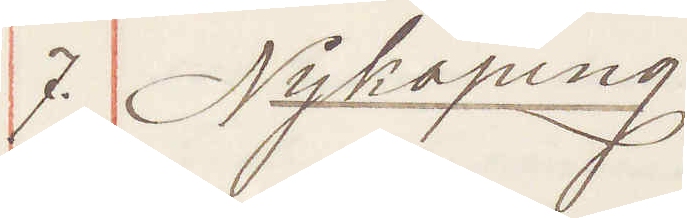7. Nyköping
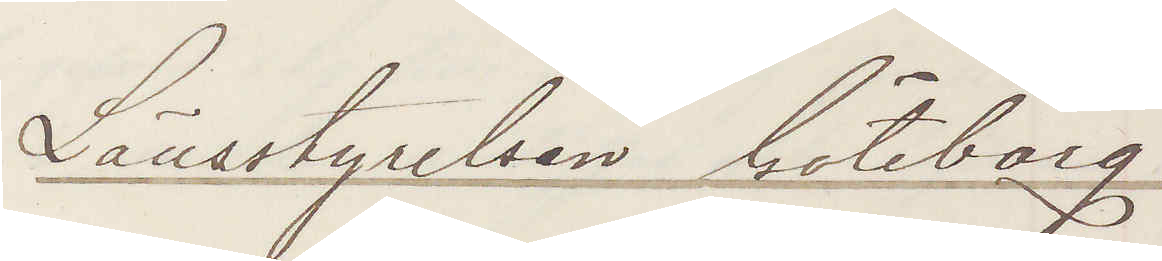Länsstyrelsen Göteborg
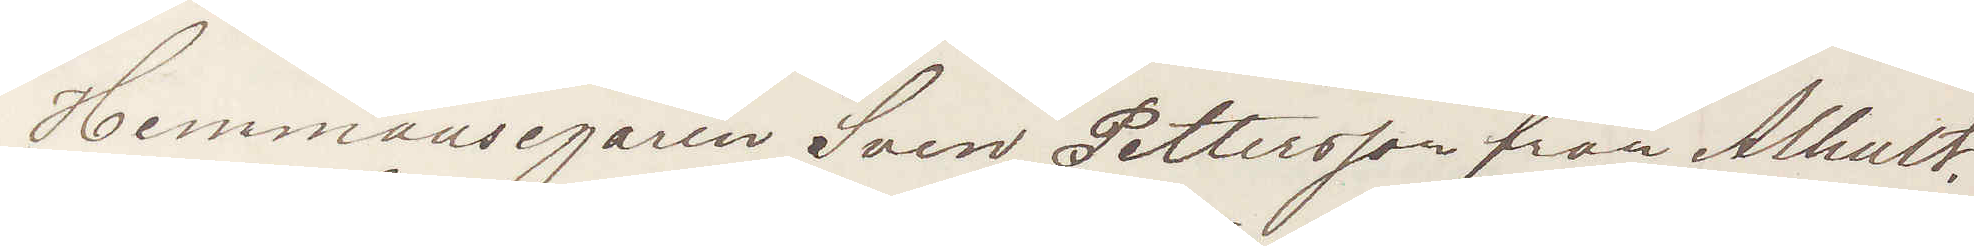Hemmansegaren Sven Pettersson från Alhult
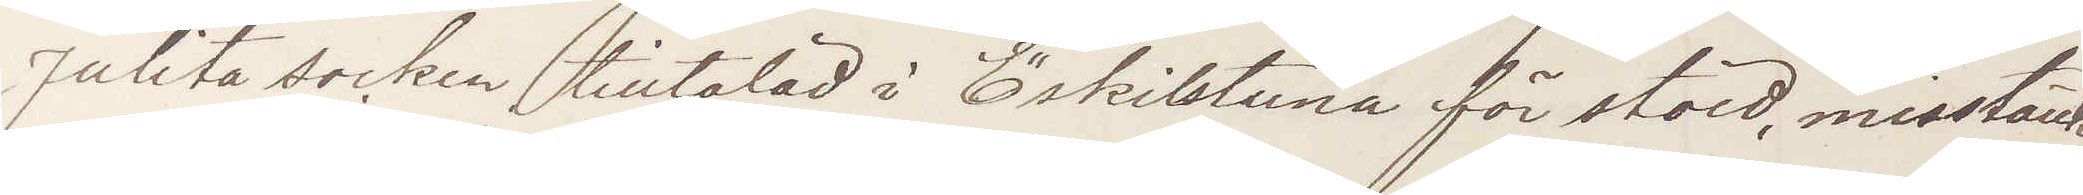Julita socken tilltalad i Eskilstuna för stöld, misstänks
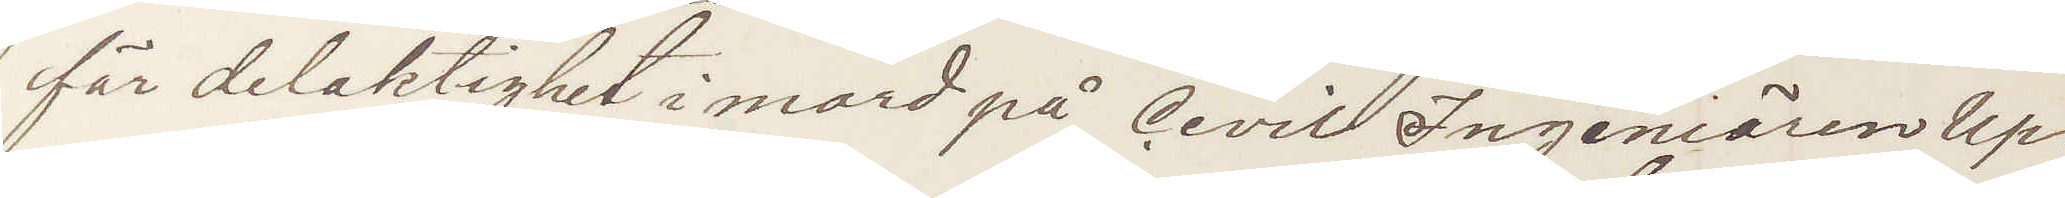för delaktighet i mord på Civil Ingeniören Up¬
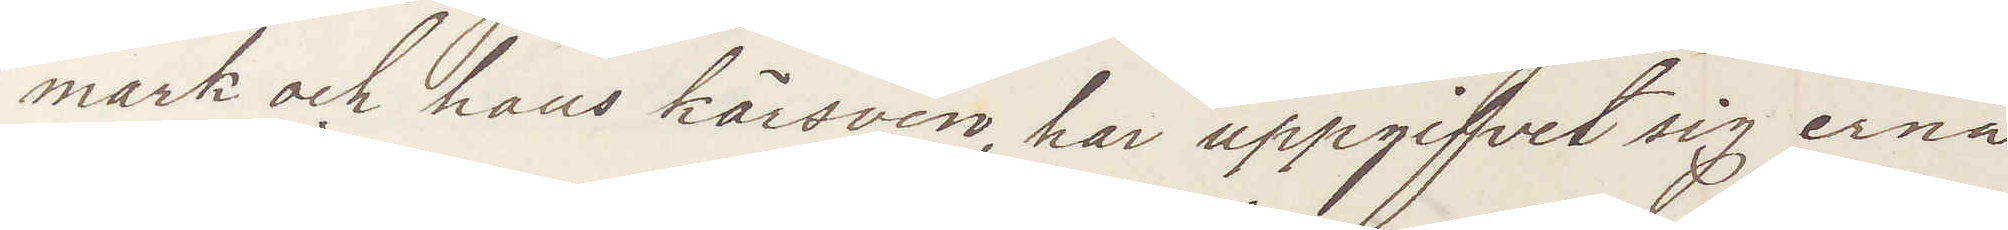mark och hans körsven, har uppgifvit sig erna
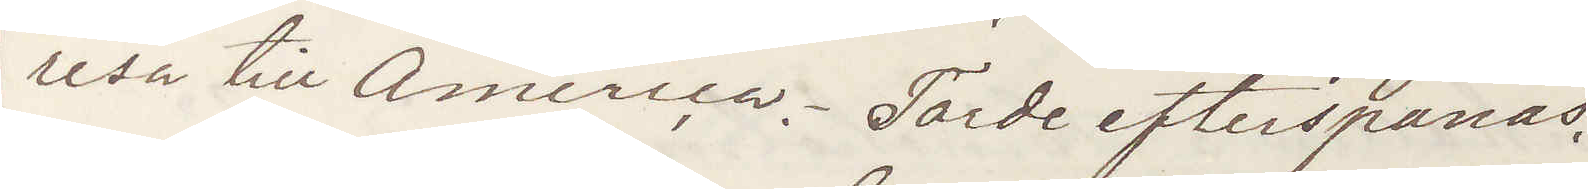resa till America. Torde efterspanas.
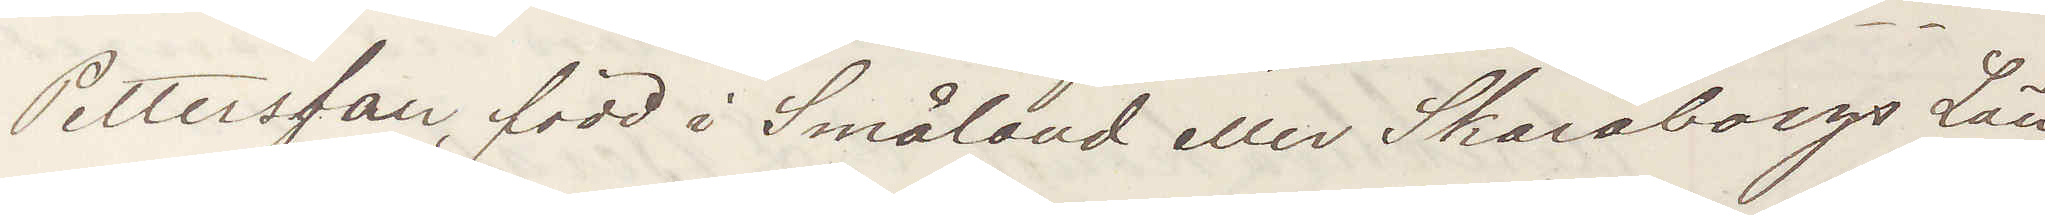Pettersson född i Småland eller Skarborgs Län,
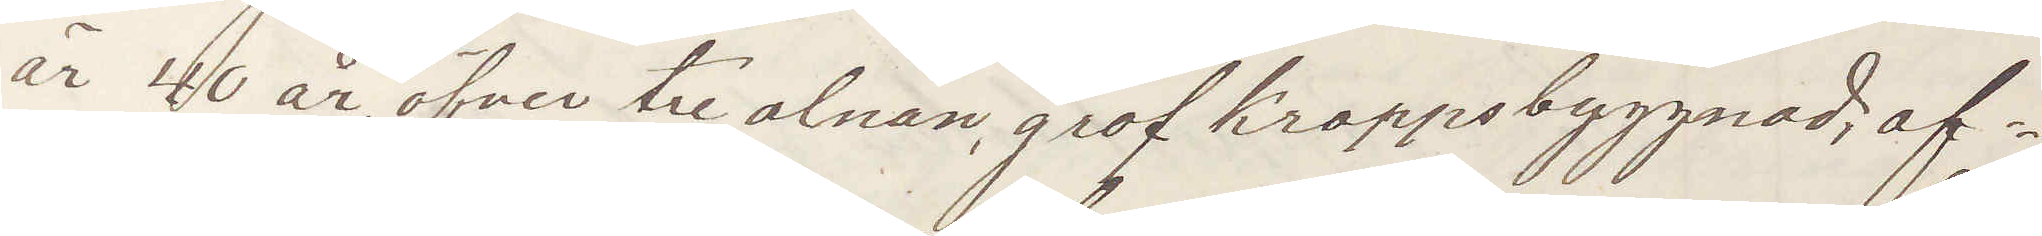är 40 år, öfver tre alnar, grof kroppsbyggnad, af¬
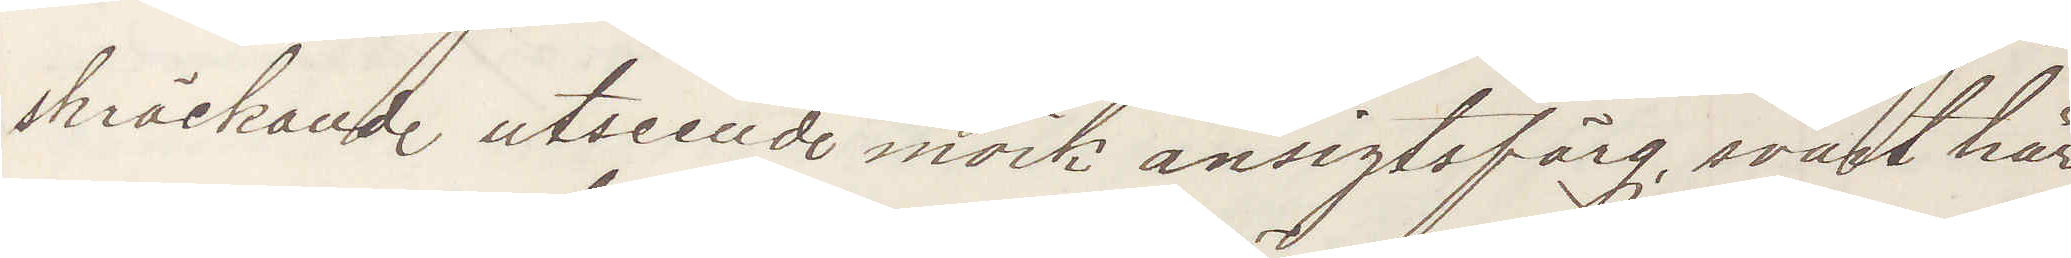skräckande utseende mörk ansigtsfärg, svart hår,
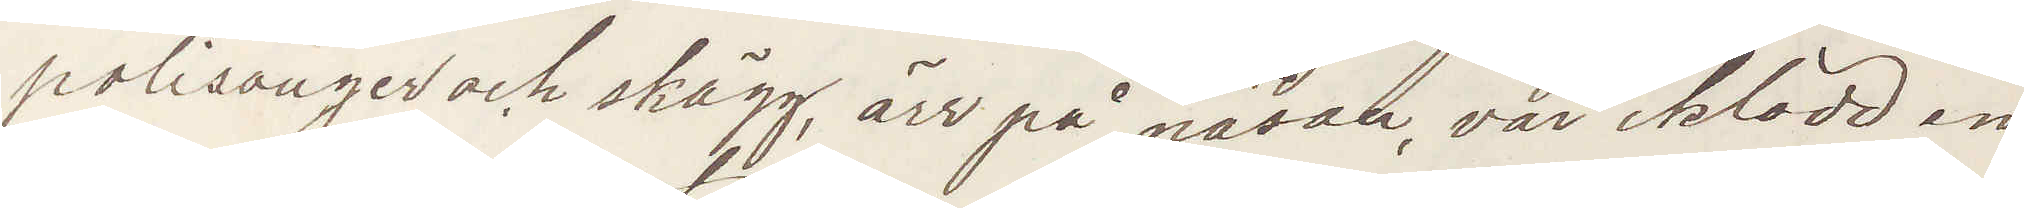polisonger och skägg, ärr på näsan, var iklädd en
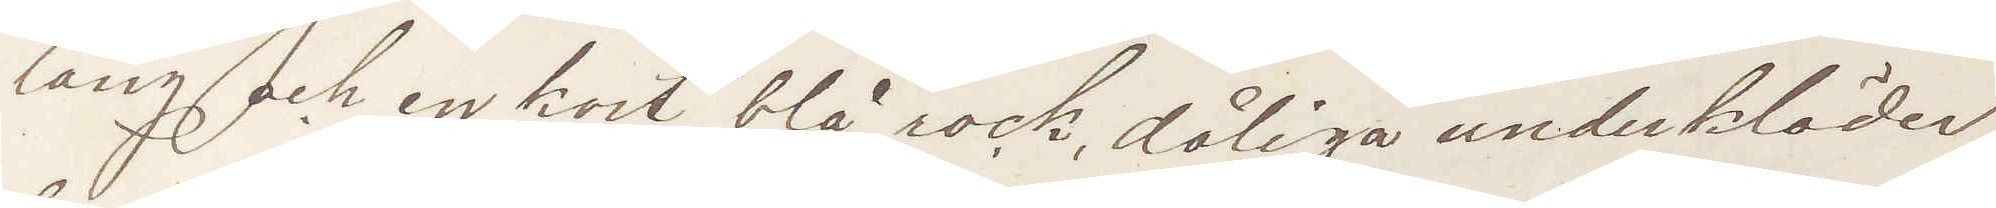lång och en kort blå rock, dåliga underkäder,
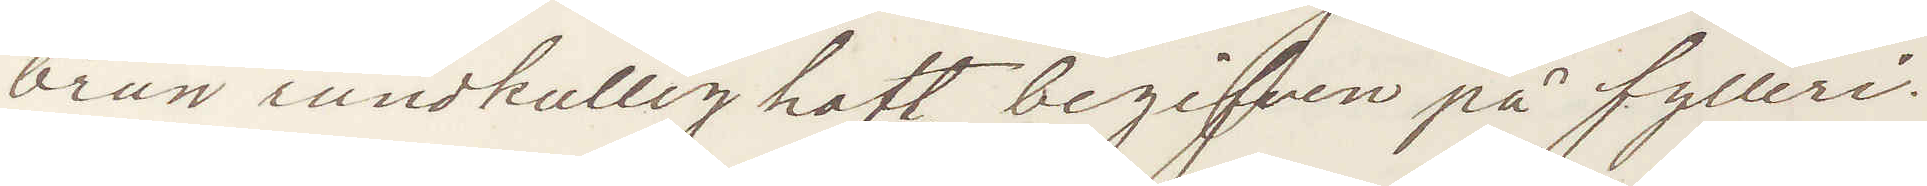brun rundkullig hatt, begifven på fylleri.
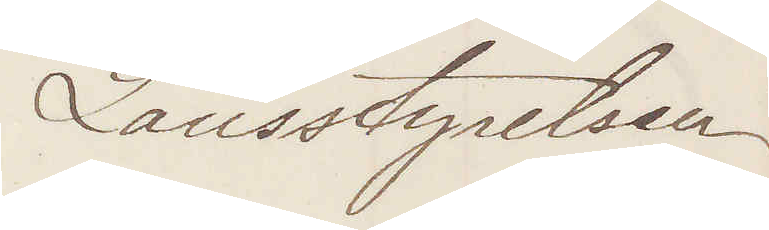Länsstyrelsen
